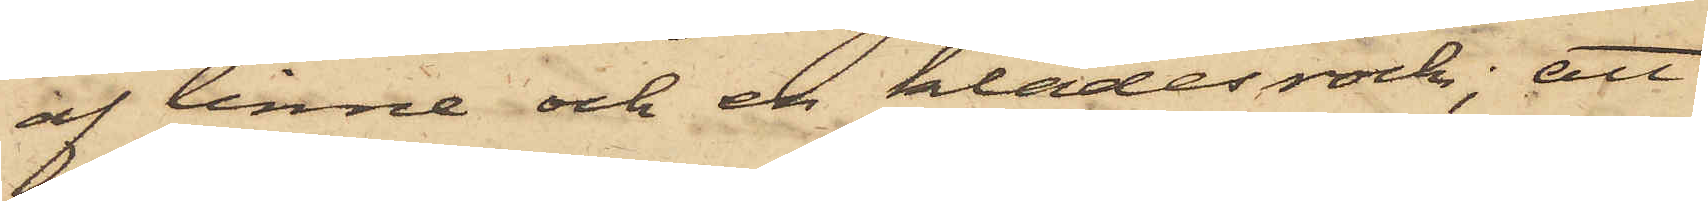af linne och en klädesrock; att
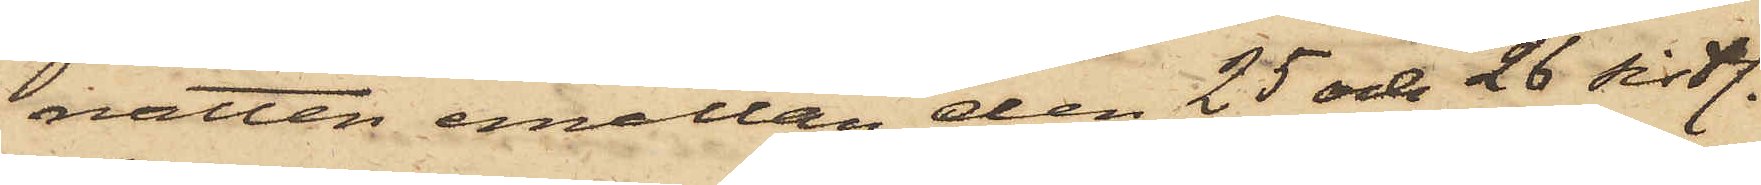natten emellan den 25 och 26 sistl.
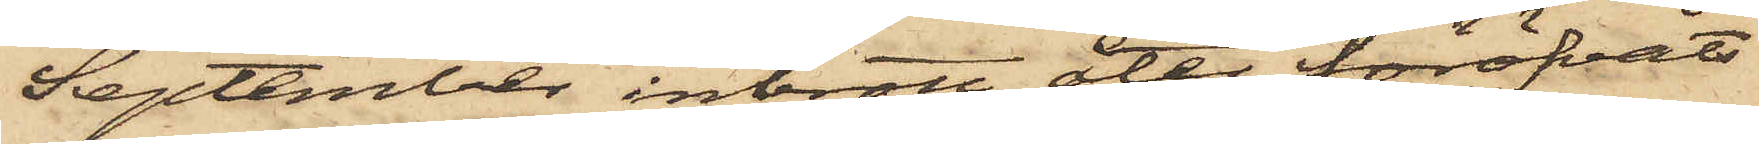September inbrott åter föröfvats
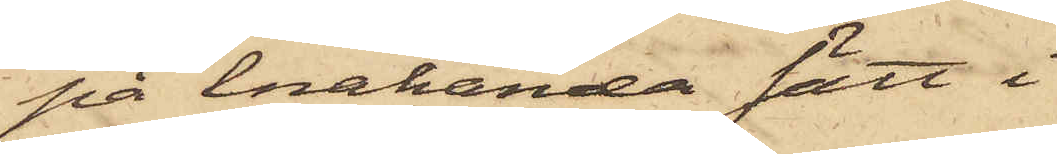på enahanda sätt i
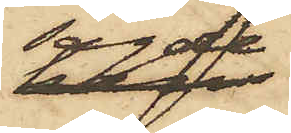sagde
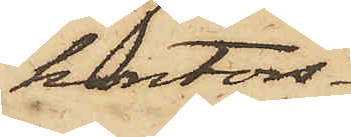kontors¬
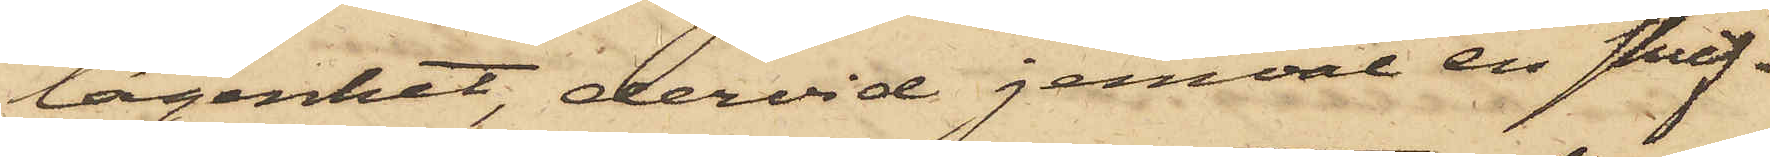lägenhet, dervid jemväl en skrif¬
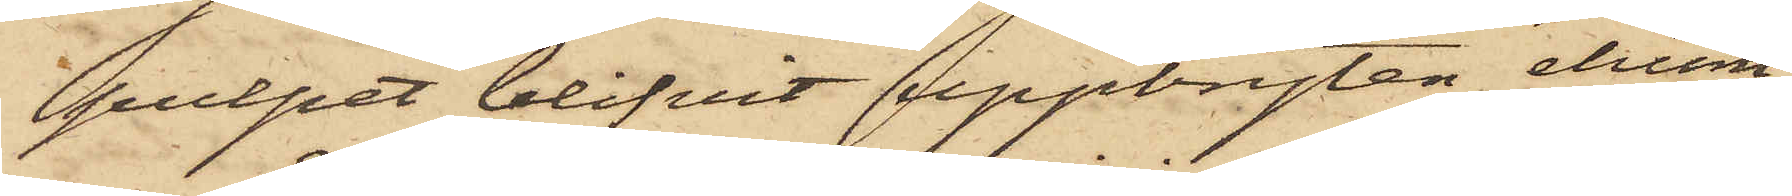pulpet blifvit uppbryten ehuru,
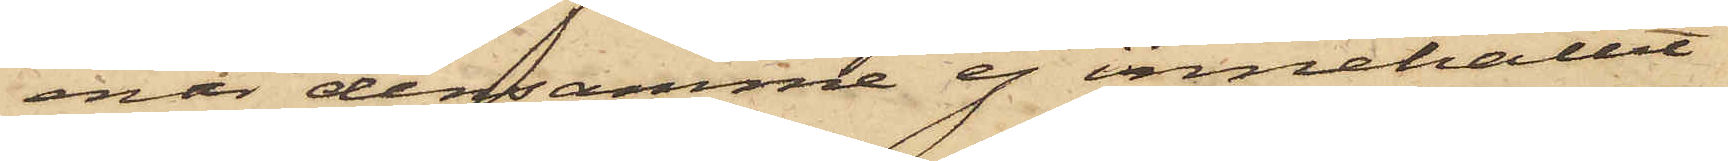enär densamme ej innehållit
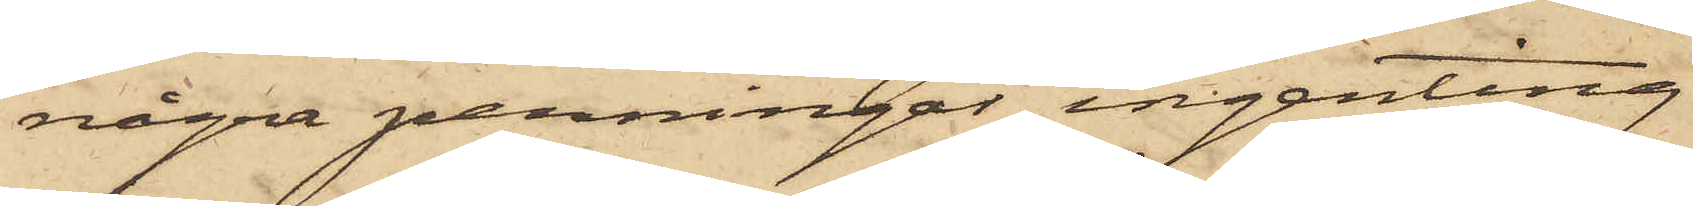några penningar, ingenting
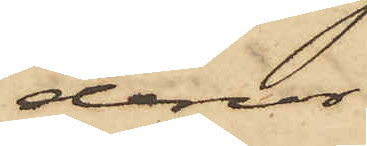derur
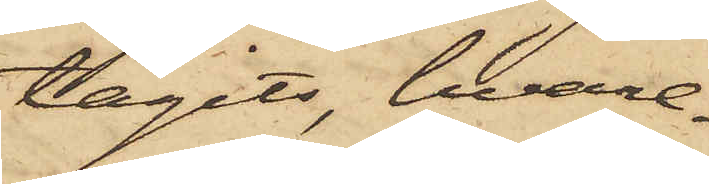tagits, hvare¬
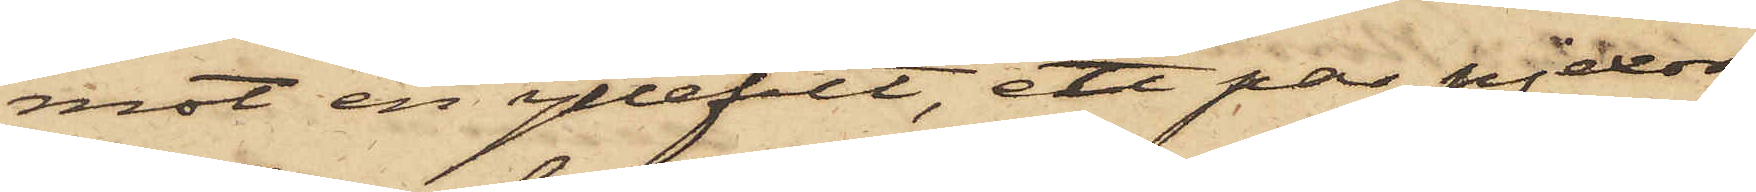mot en yllefilt, ett par pjexor
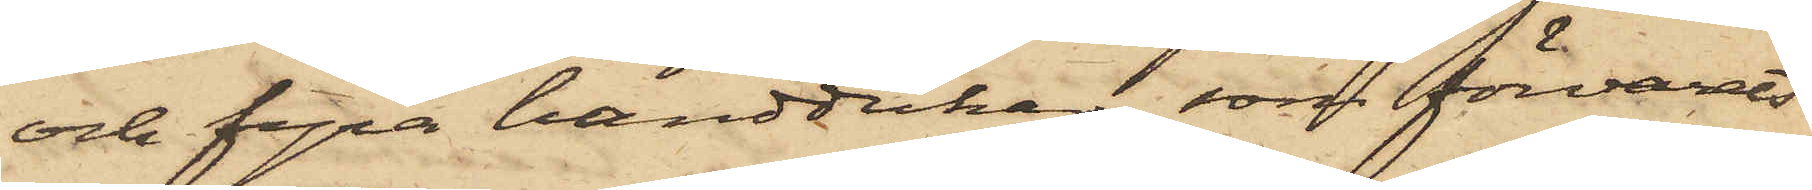och fyra handdukar, som förvarats
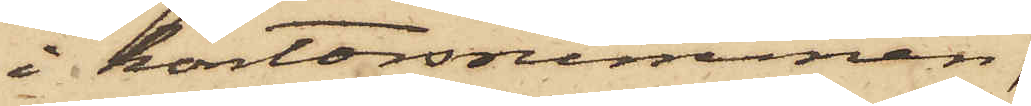i kontorsrummen,
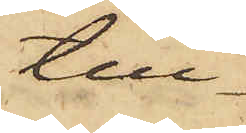till¬
